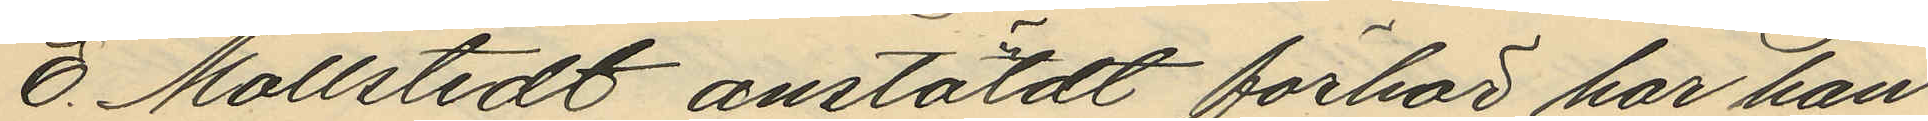E. Mollstedt anstäldt förhör har han
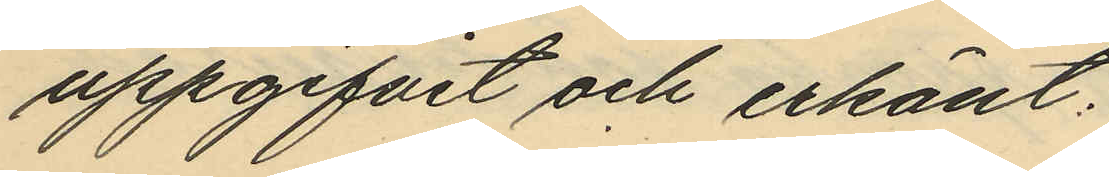uppgifvit och erkänt:
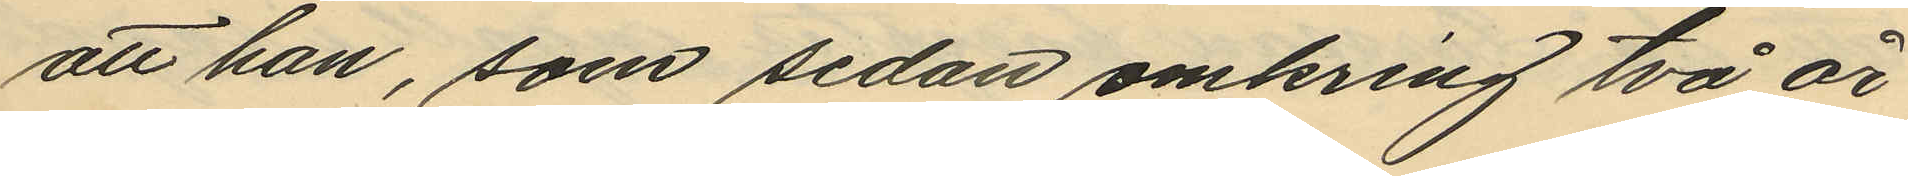att han, som sedan omkring två år
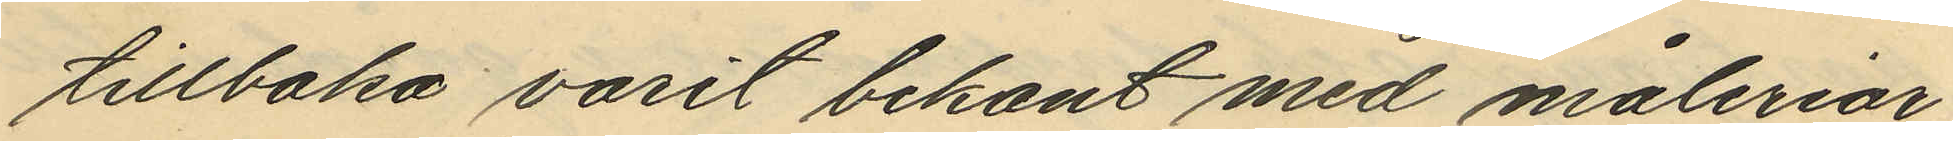tillbaka varit bekant med måleriar¬
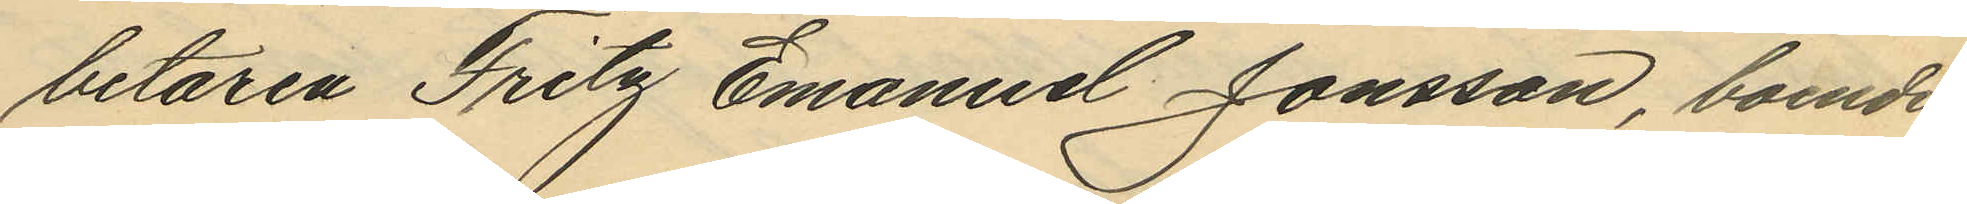betaren Fritz Emanuel Jonsson, boende
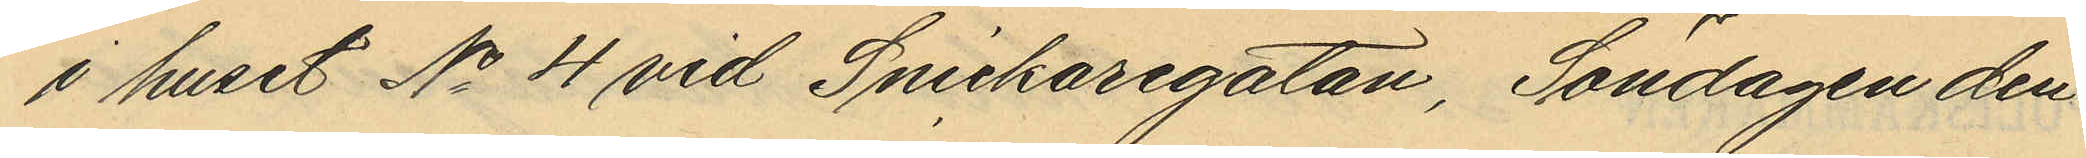i huset No 4 vid Snickaregatan, Söndagen den
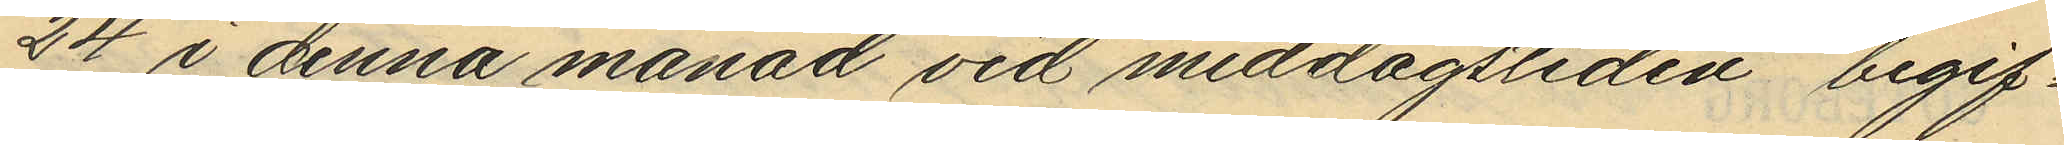24 i denna månad vid middagstiden, begif¬
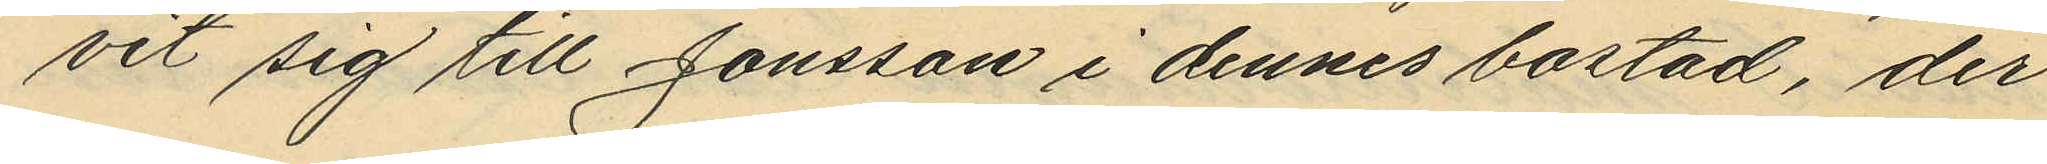vit sig till Jonsson i dennes bostad, der
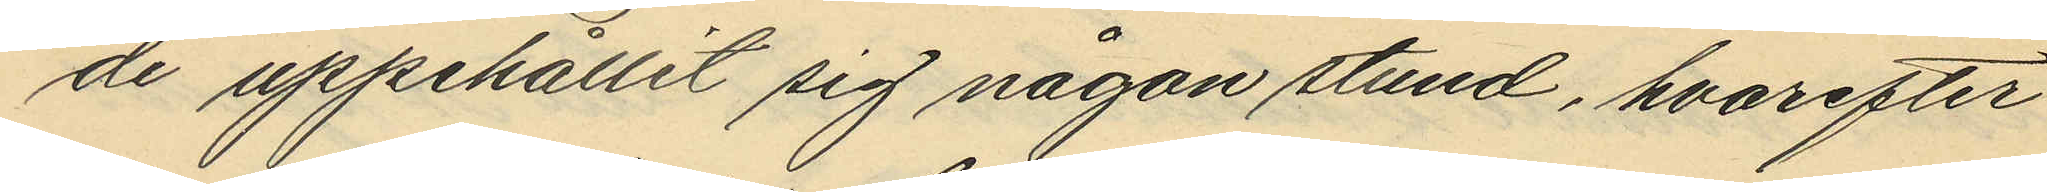de uppehållit sig någon stund, hvarefter
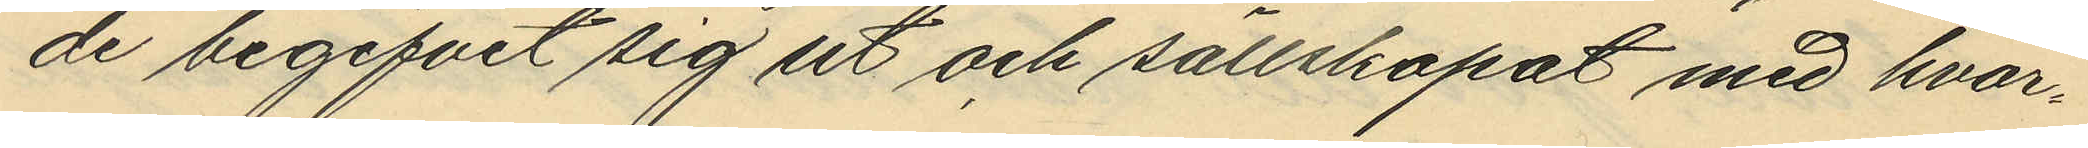de begifvit sig ut och sällskapat med hvar¬
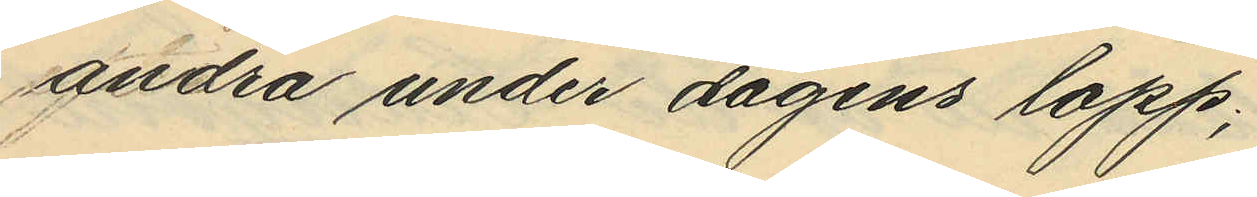andra under dagens lopp;
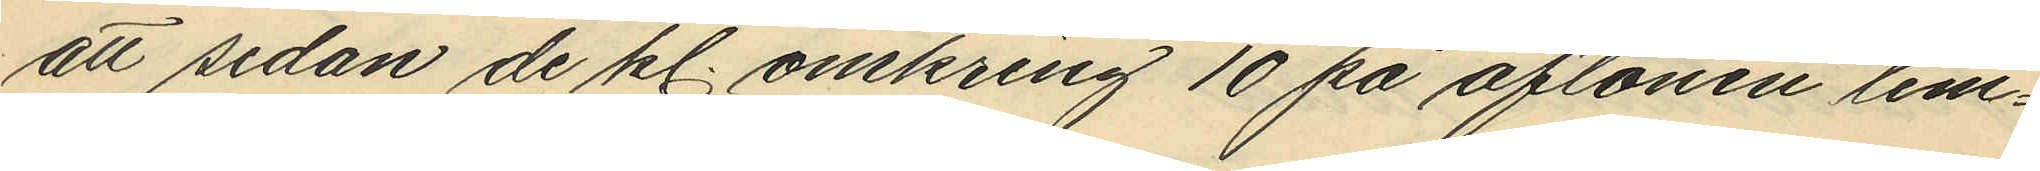att sedan de kl. omkring 10 på aftonen lem¬
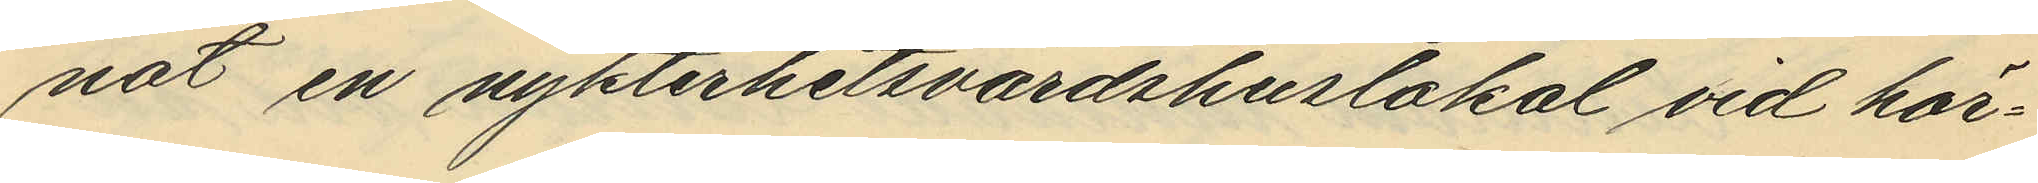nat en nykterhetsvärdshuslokal vid hör¬
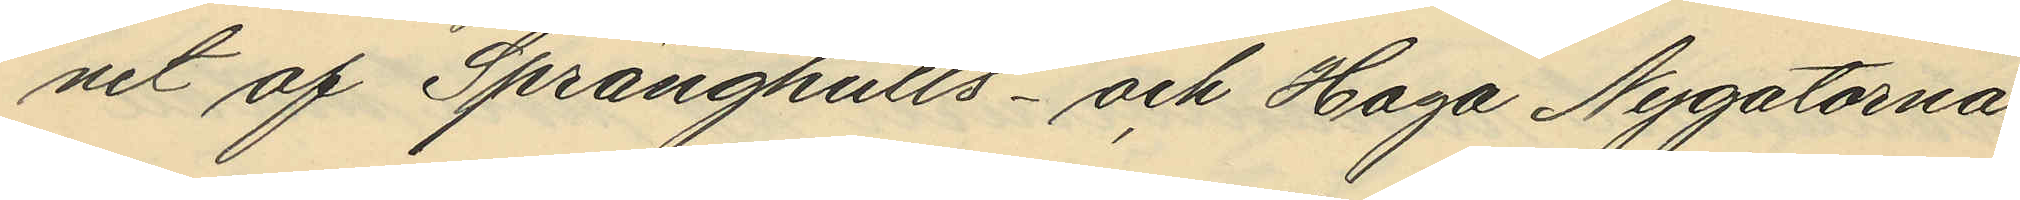net af Sprängkulls- och Haga Nygatorna
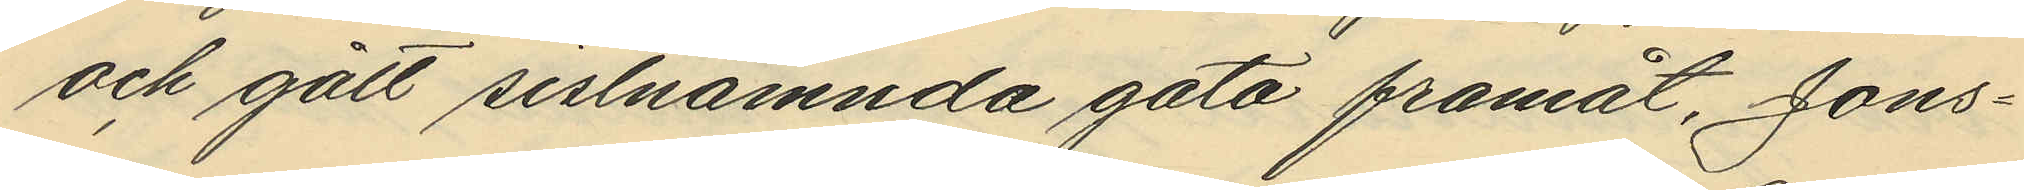och gått sistnämnda gata framåt, Jons¬
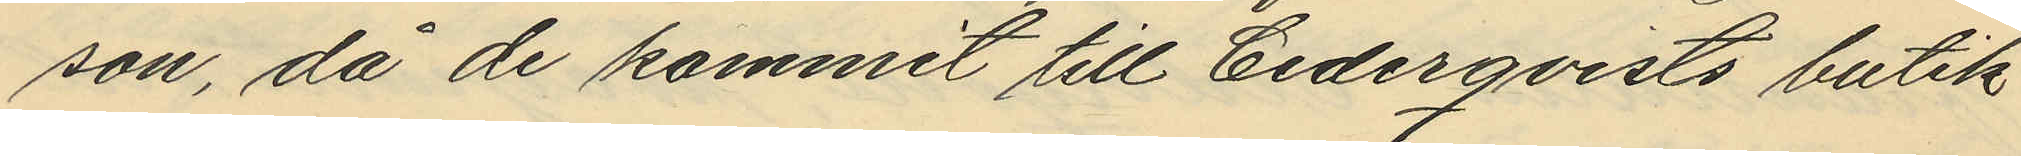son, då de kommit till Cederqvists butik
